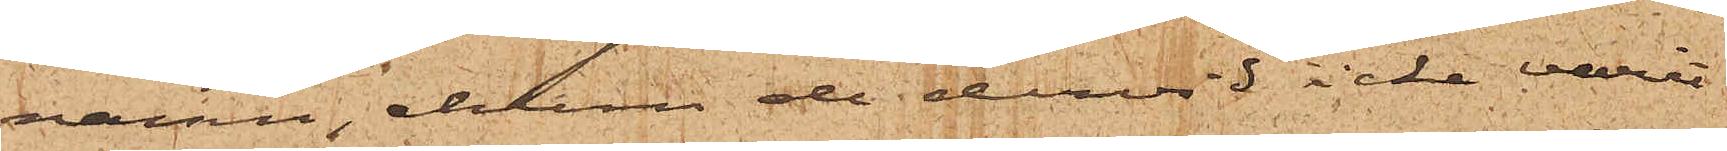namn, ehuru de dervid icke varit
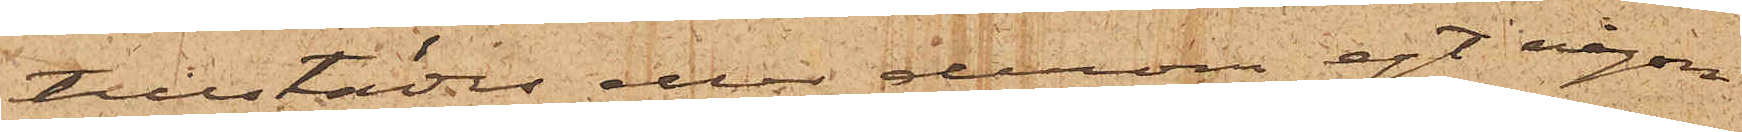tillstädes eller derom egt någon
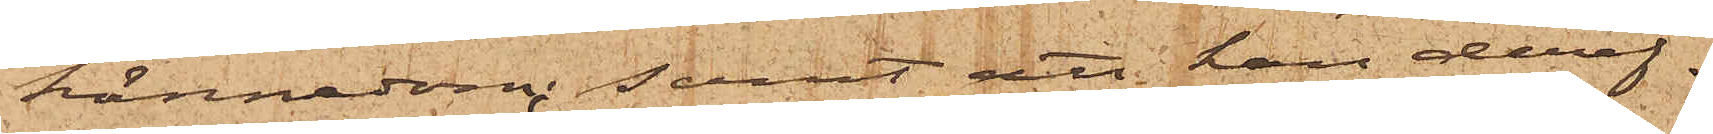kännedom; samt att han deref¬
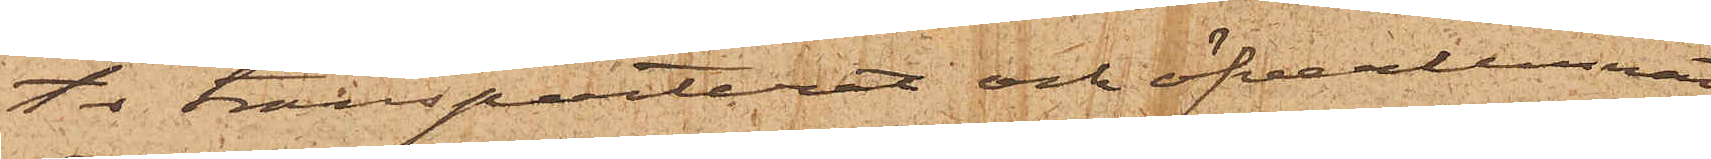ter transporterat och öfverlemnat
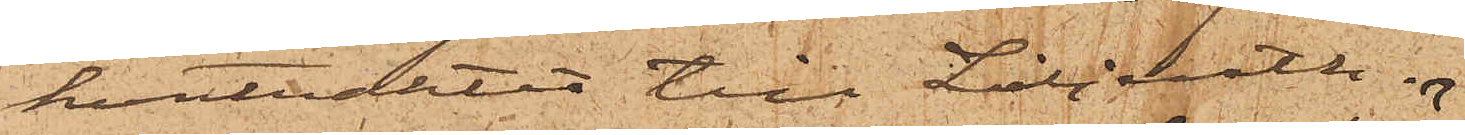kontraktet till Liljeroth.
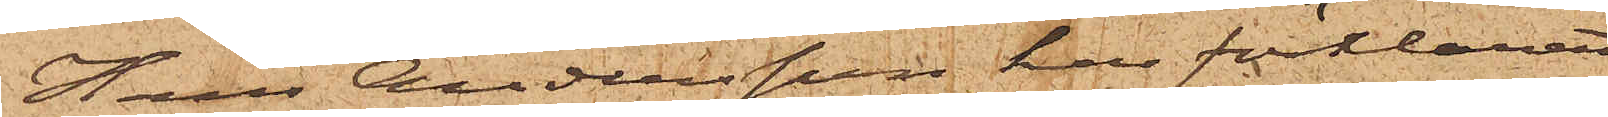Hans Andersson har förklarat
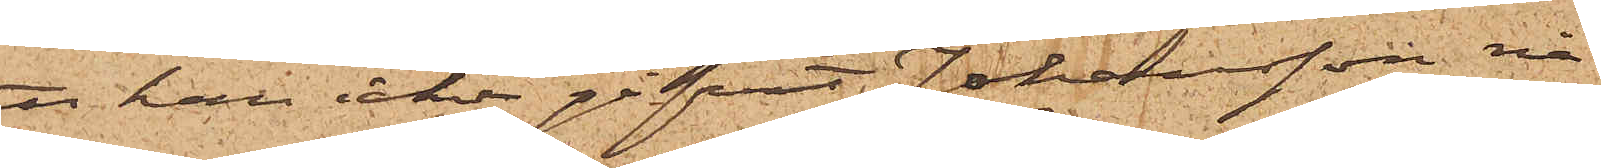att han icke gifvit Johansson nå¬
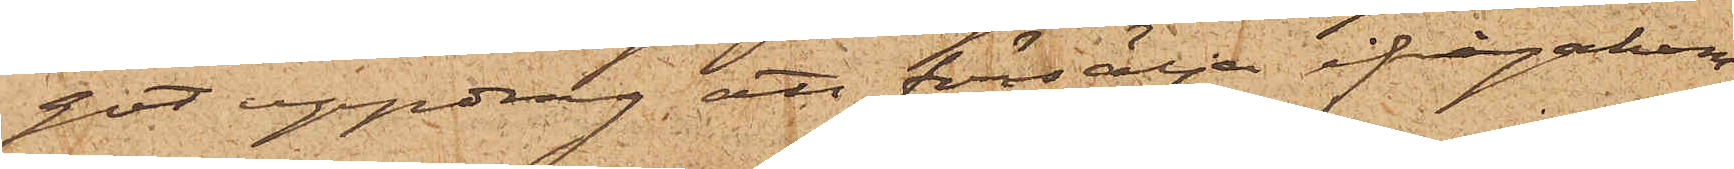got uppdrag att försälja ifrågakom¬
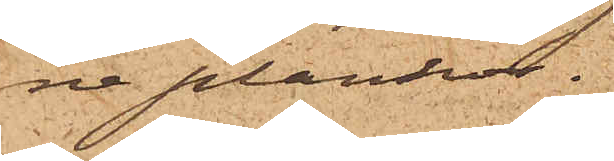ne plankor.
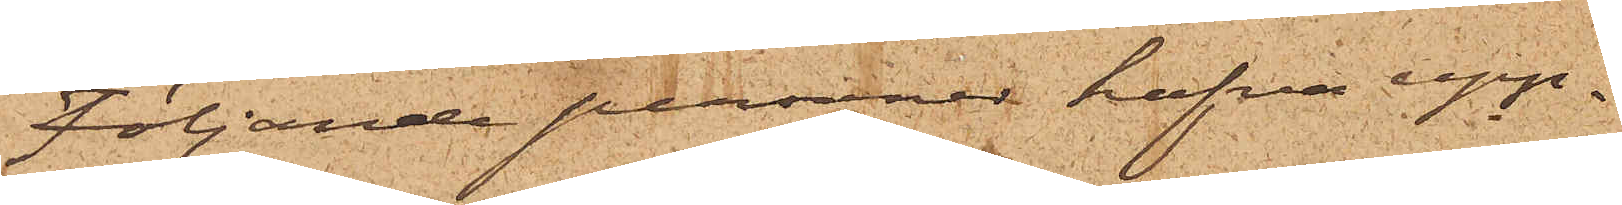Följande personer hafva upp¬
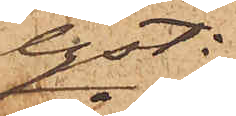lyst:
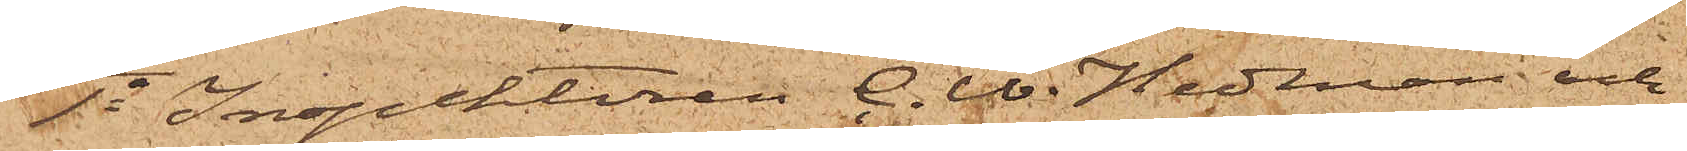1o Inspektoren C. W. Hedman och
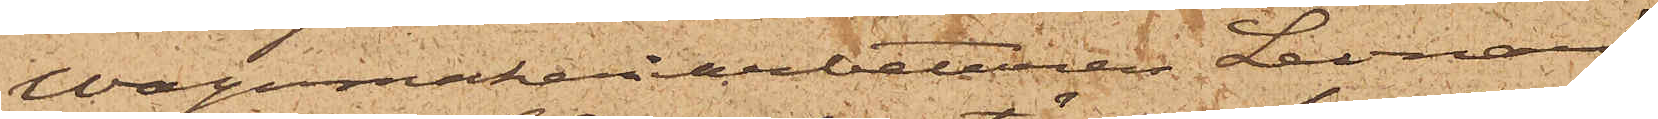Wagmakeriarbetaren Leonard
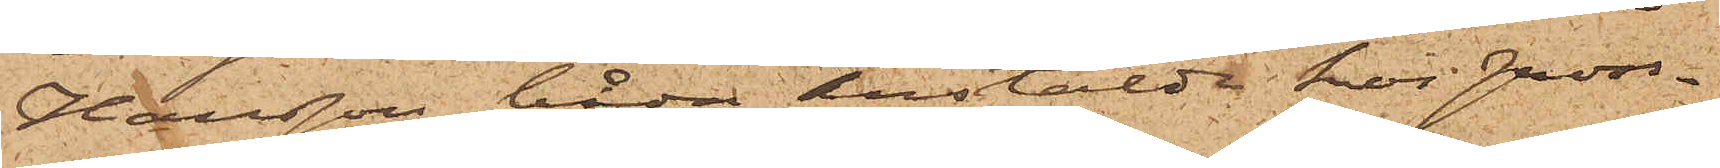Hansson, båda anstälde hos Gross¬
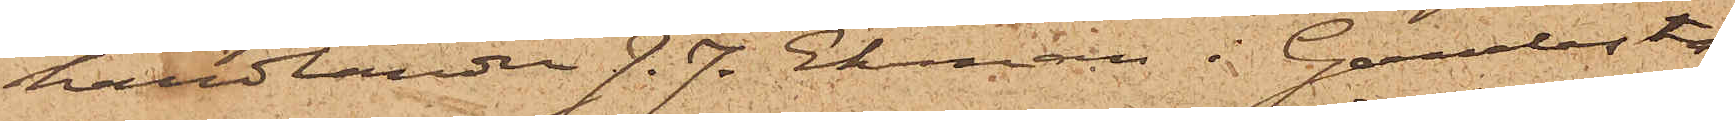handlanden J. J. Ekman i Gamlesta¬
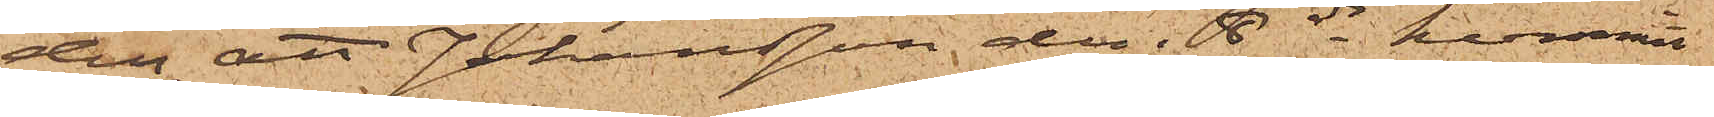den, att Johansson den 8 ds kommit
